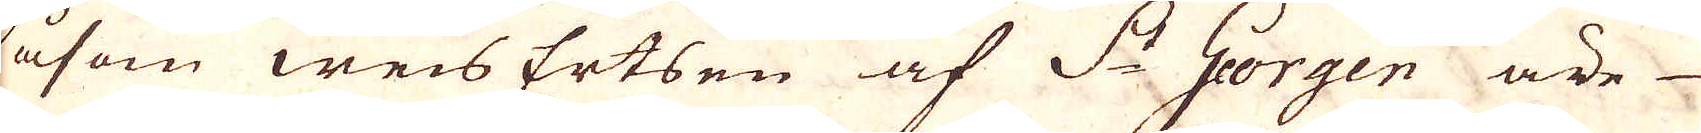Såsom weis Ertsen af S:t Georgen äre
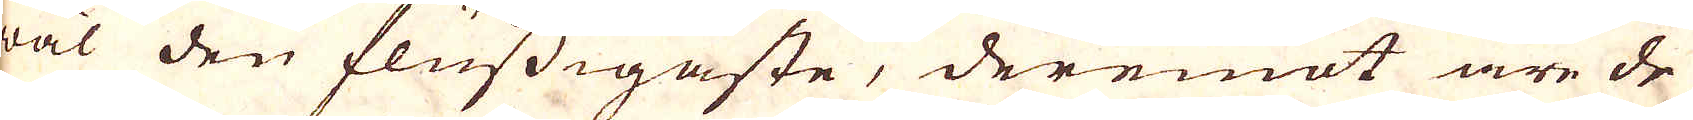väl den flussigaste, deremat äre de
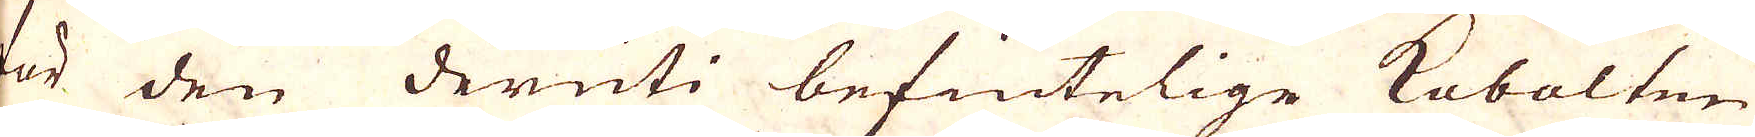för den deruti befintelige Kobolten
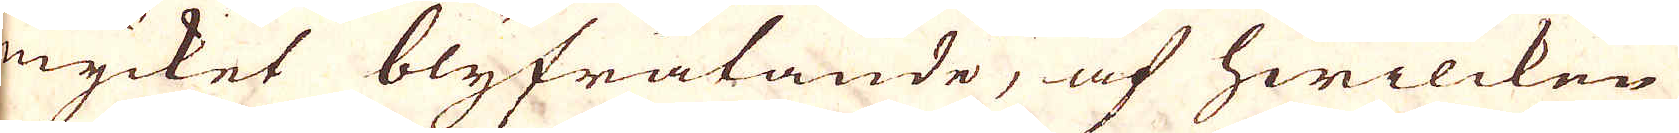mycket blyfrätande, af hwilcken
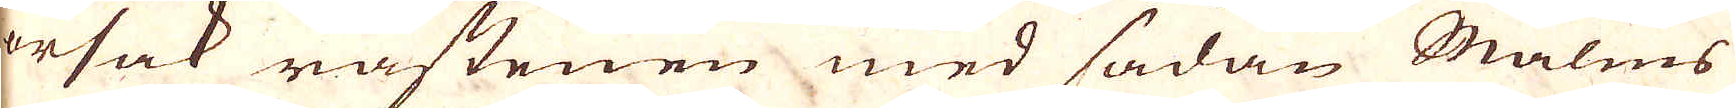orsak råstenen med sådan Malms
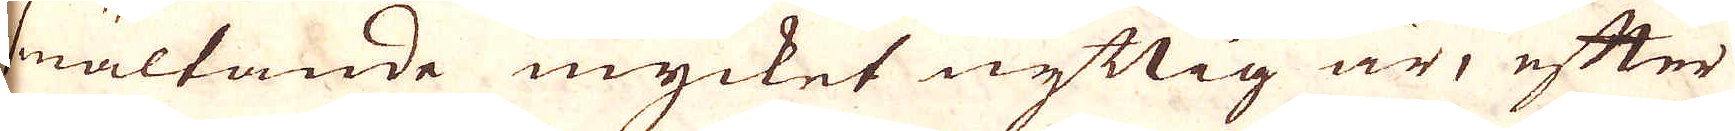smältande mycket nyttig är, efter
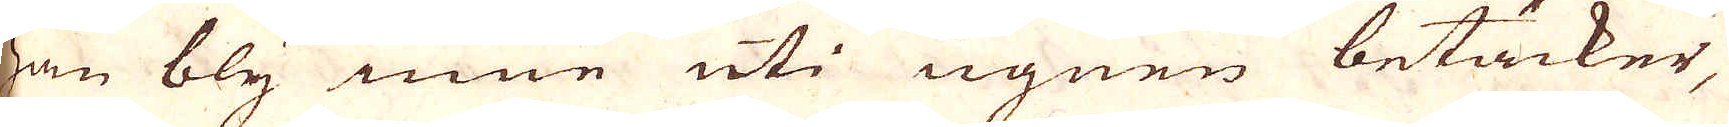han bly inne uti ugnen betäcker,
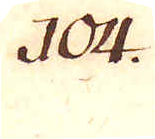104.
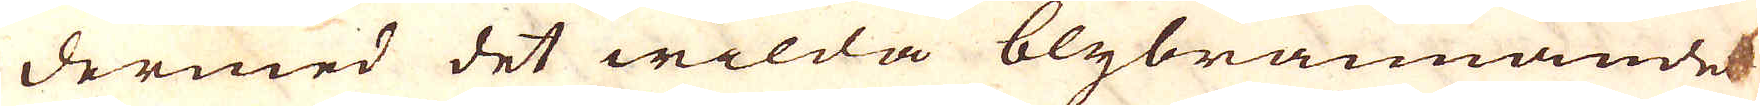dermed det wilda blybrännandes
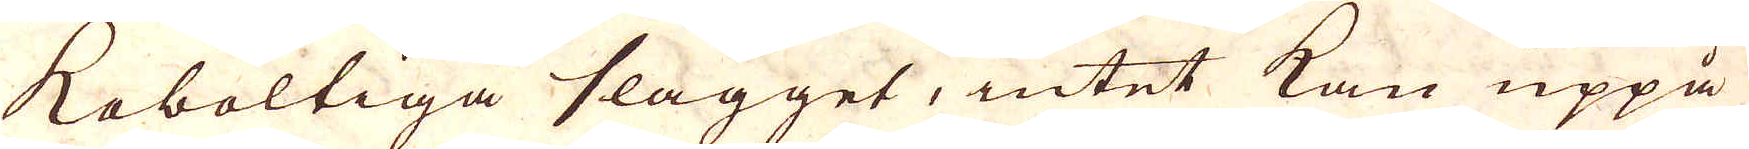koboltiga slagget, intet kan uppå
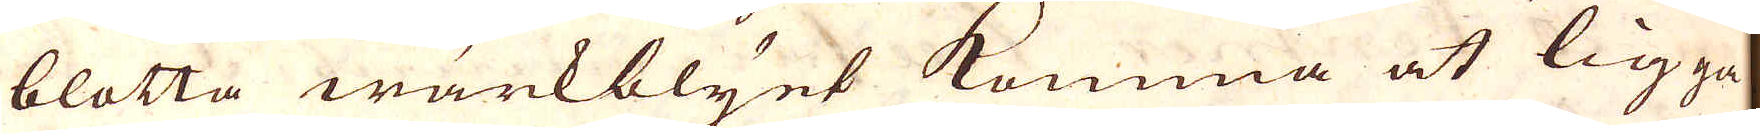blotta wärkblyet komma at ligga
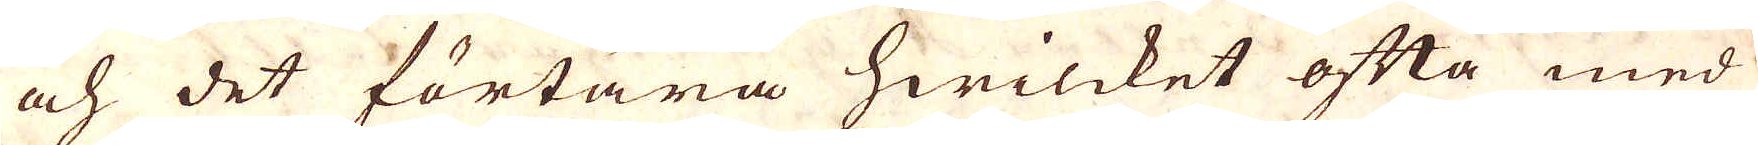och det förtära hwilcket ofta med
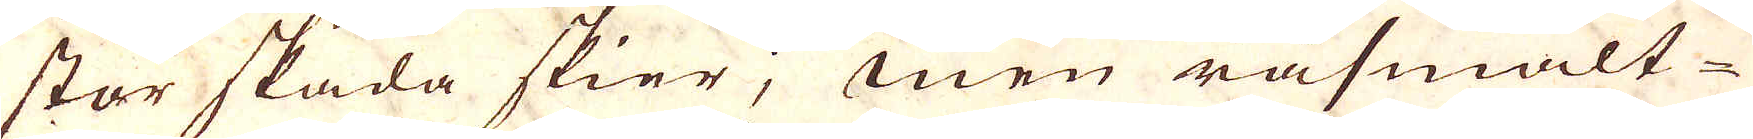stor skada skier; men råsmält-
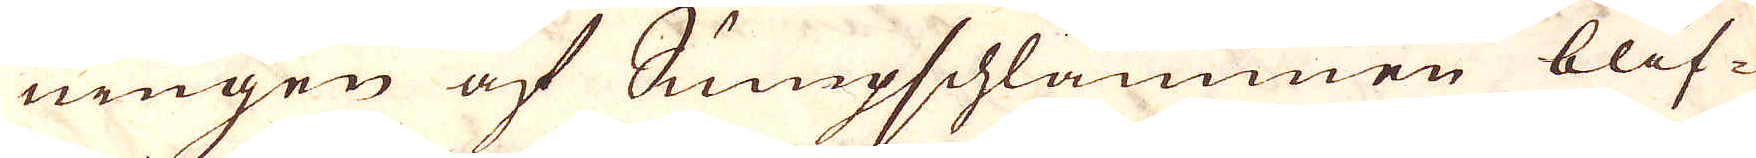ningen af Sumpschlammen blif-
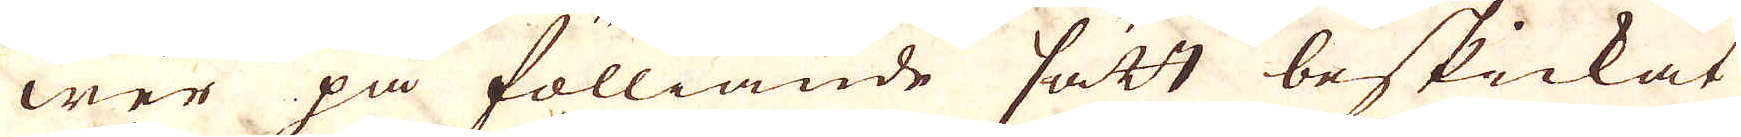wer på fölliande sätt beskickat
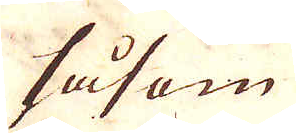såsom
